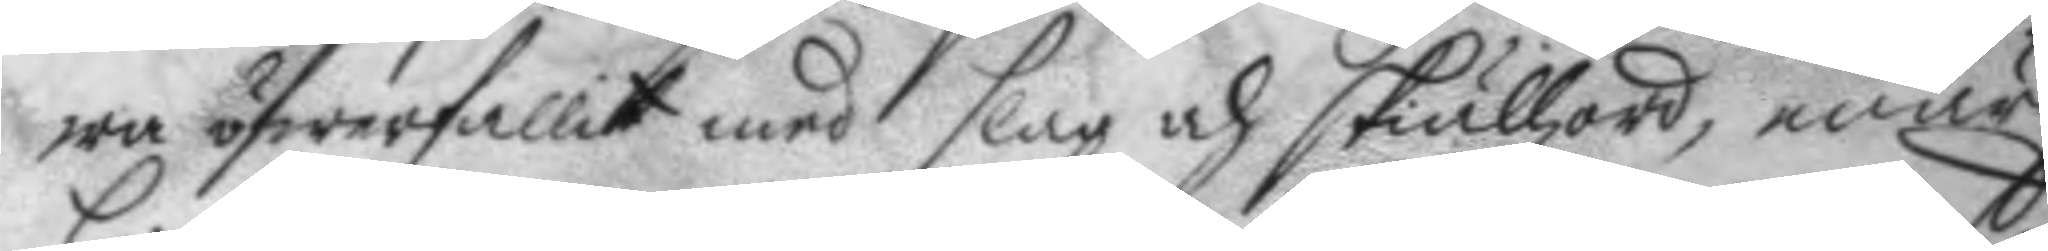wa öfwerfallit med slag och skiällzord, enär
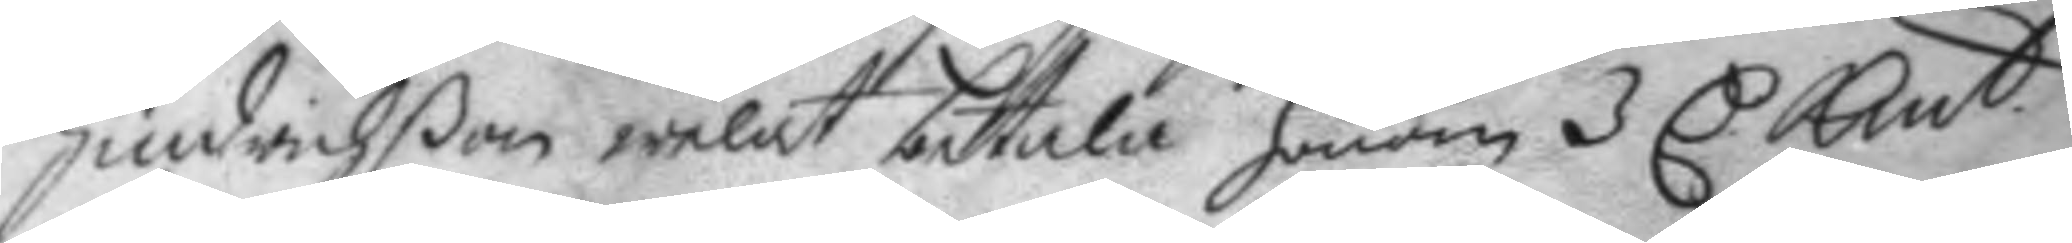Hindrichßon welat betala honom 3 C Kmt.
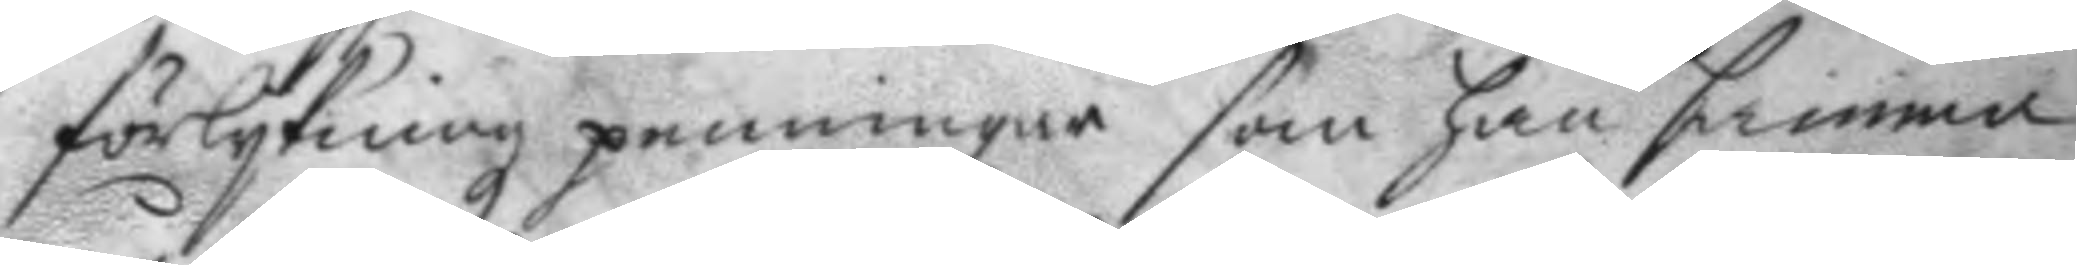förlykningz penningar som han samma
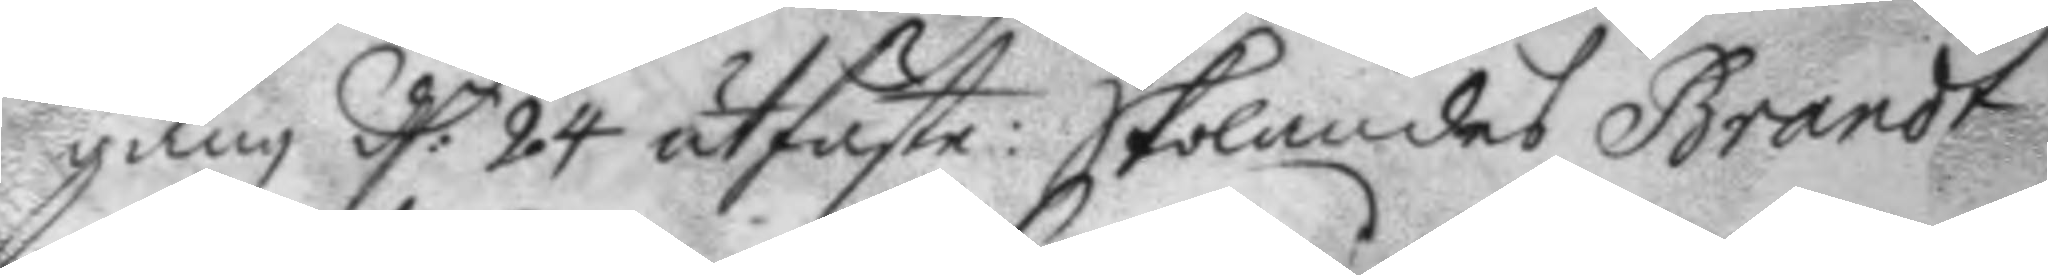gång d:n 24 utfäste: Skolandes Brandt
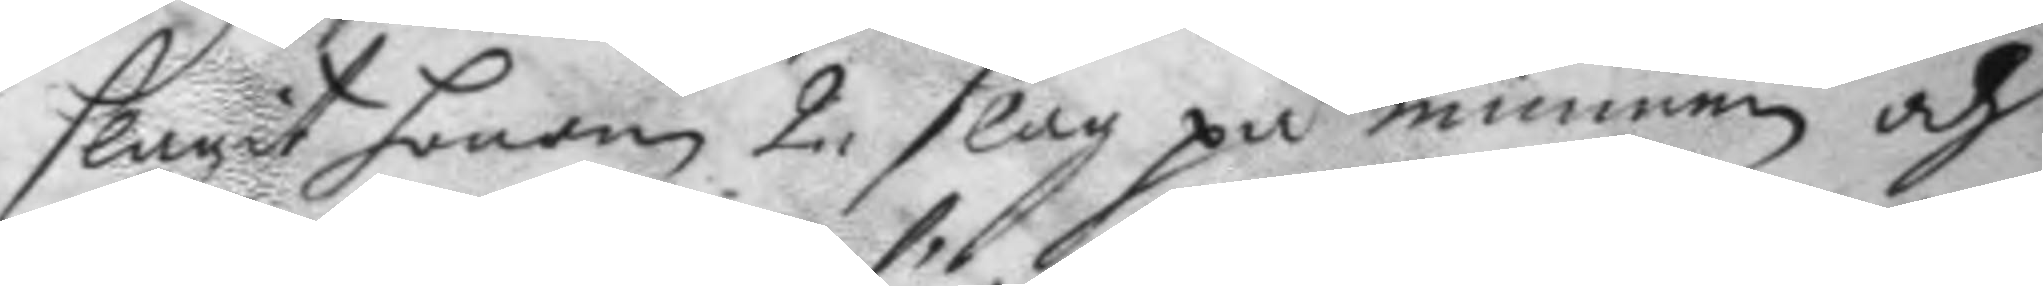slagit honom 2. slag på munnen och
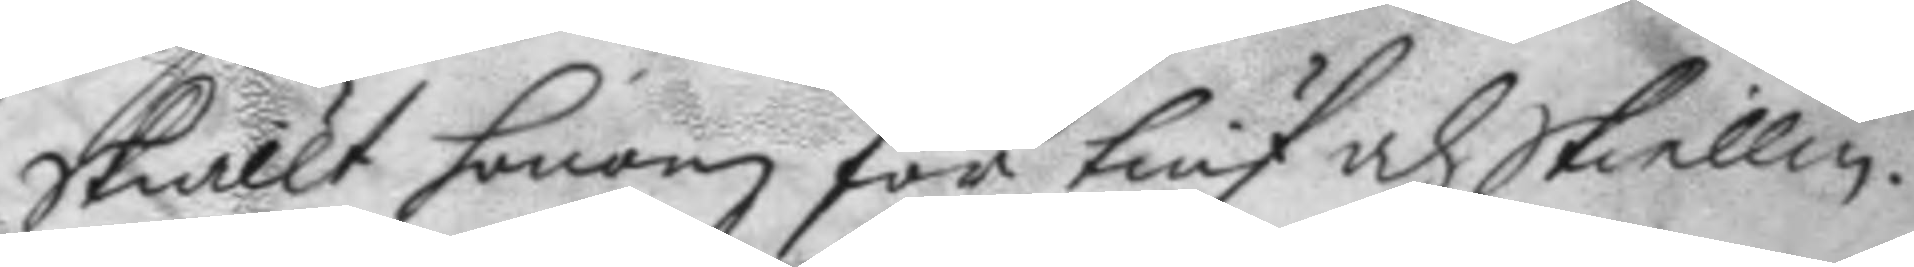Skiällt honom för tiuf och Skiellm.
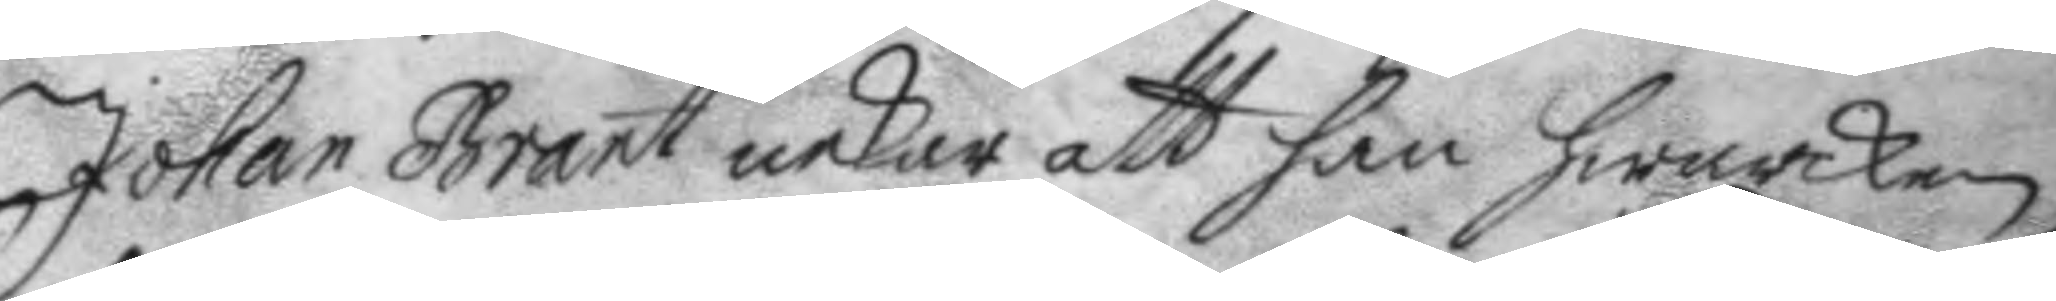Johan Brant nekar att han hwarcken
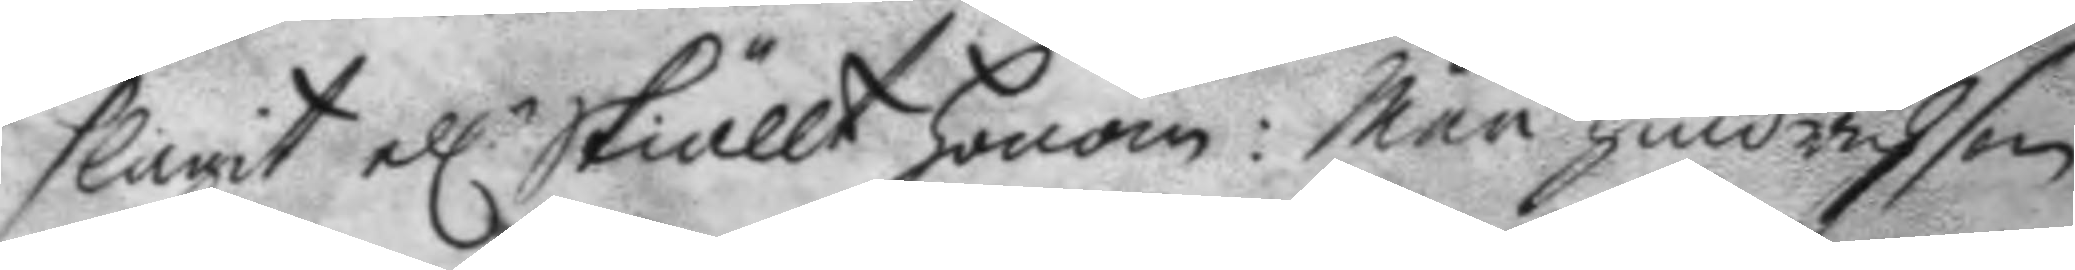slagit ell.r Skiällt honom: Men Hindrichson
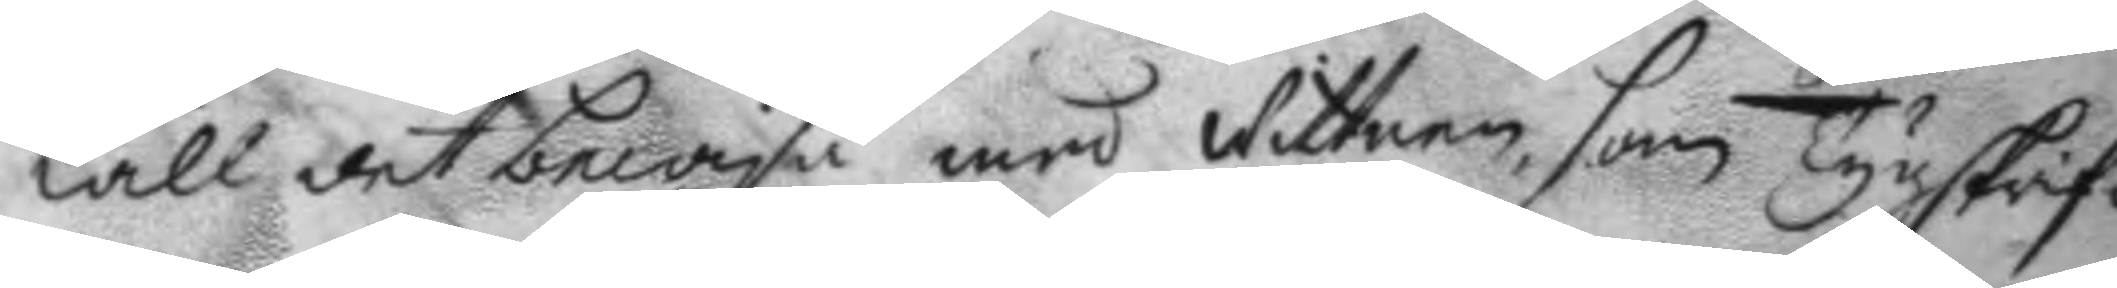will det bewisa med Wittnen, som Tygskrif¬
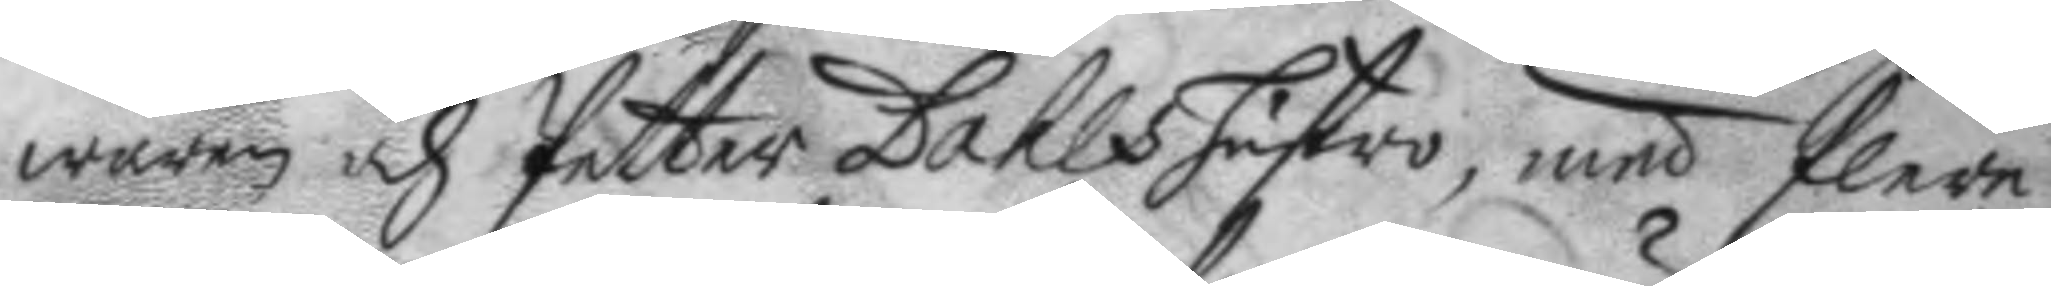waren och Petter Dahls hustro, med flere
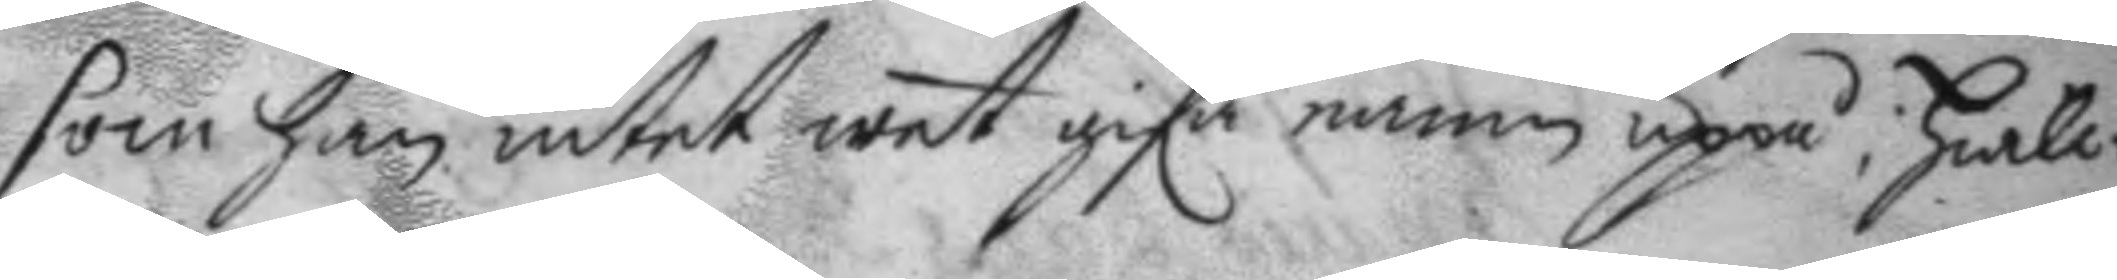som han intet wet gifa namn uppå: hwil¬
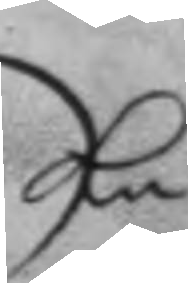ke
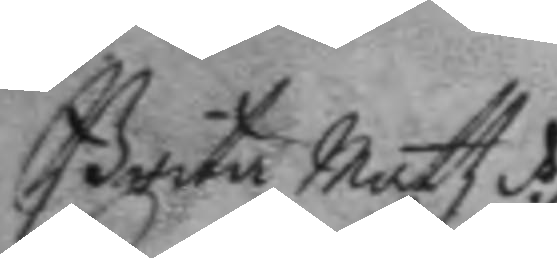Brita Mattz d.r
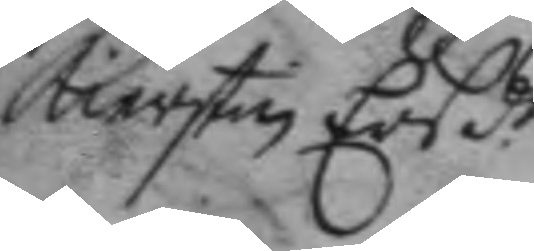Kierstin Ers d.r
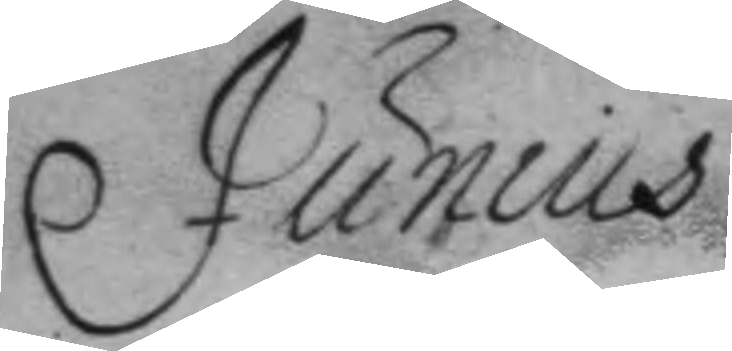Junius
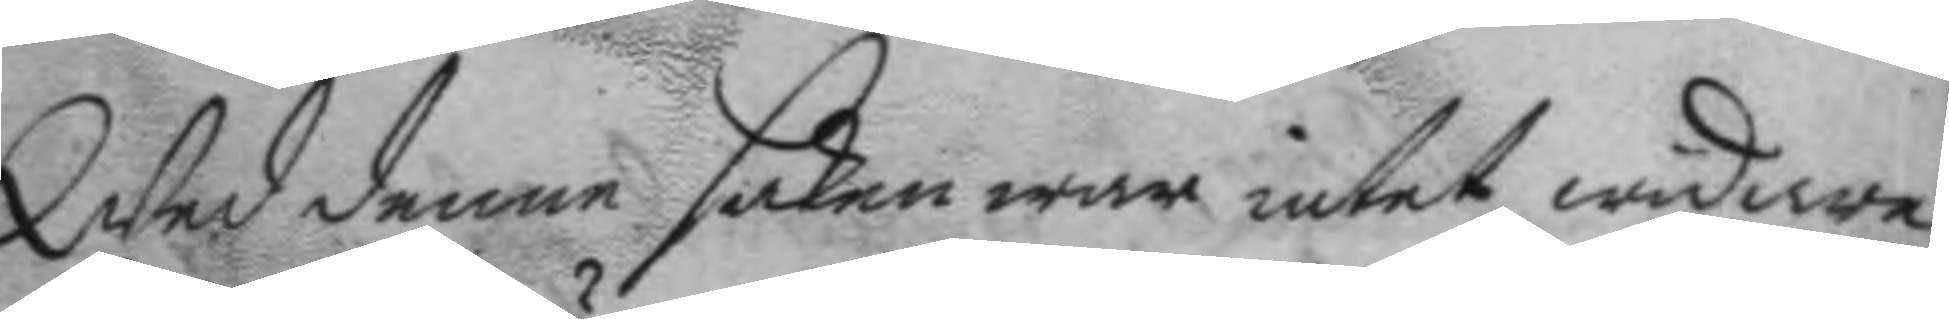wed denne saken war intet widare
